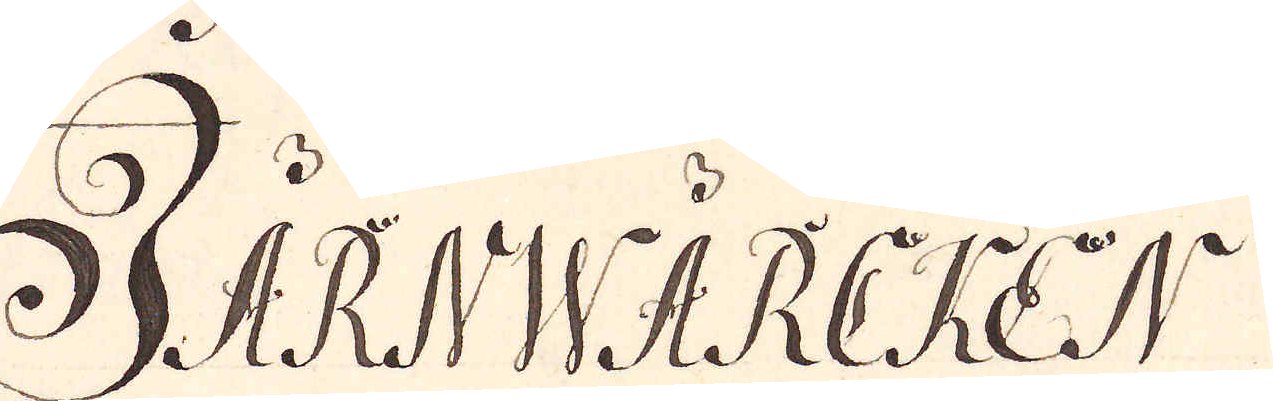JÄRNWÄRCKEN
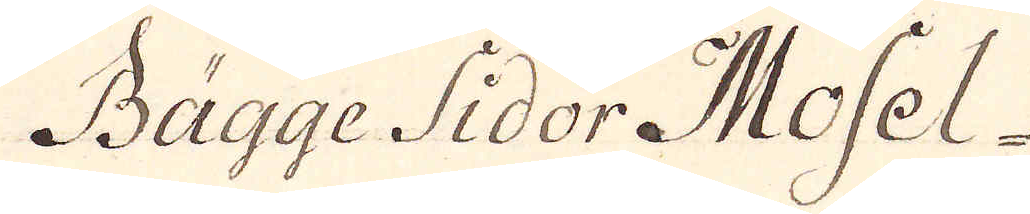Bägge Sidor Mosel-
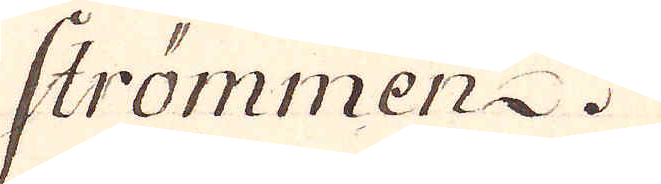strömmen.
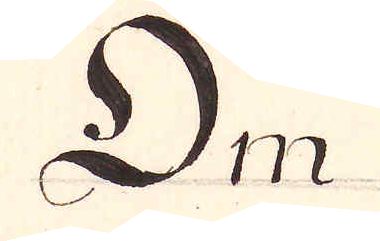Om
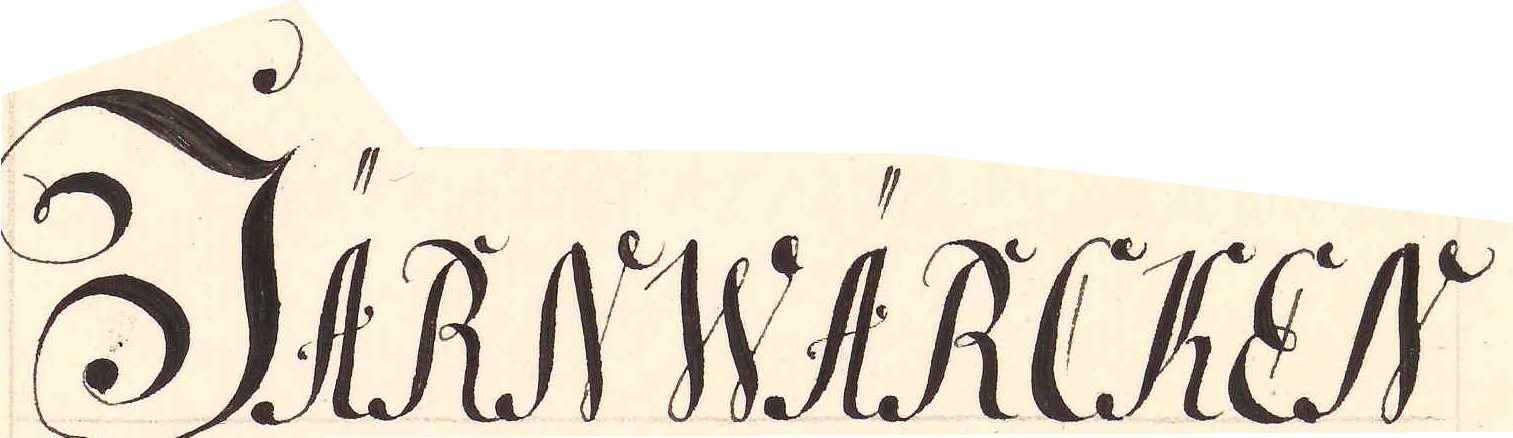JÄRNWÄRCKEN
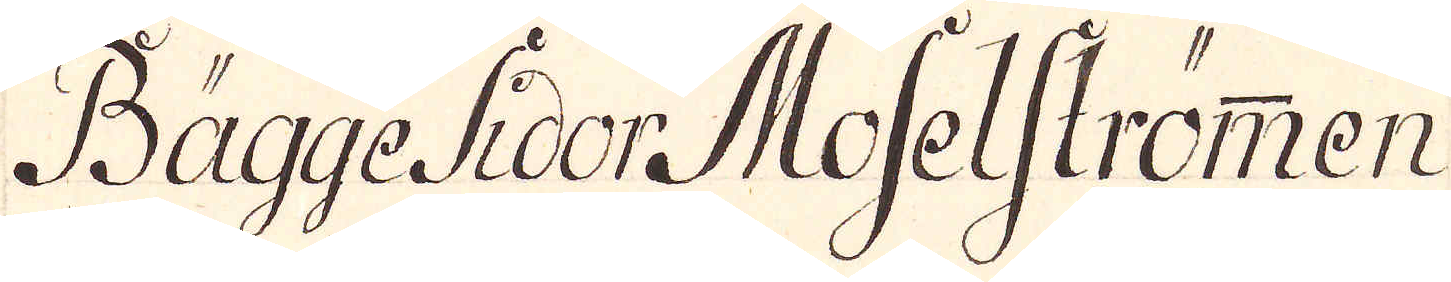Bägge Sidor Moselströmmen
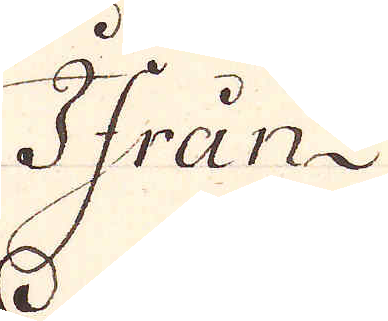Ifrån
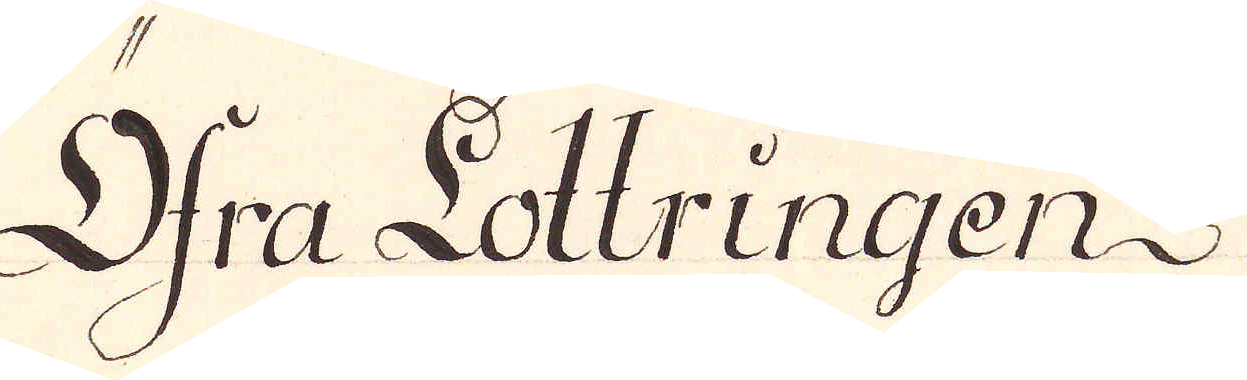Öfra Lottringen
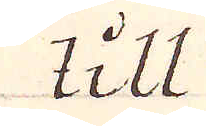till
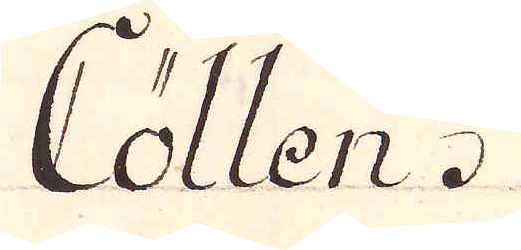Cöllen.
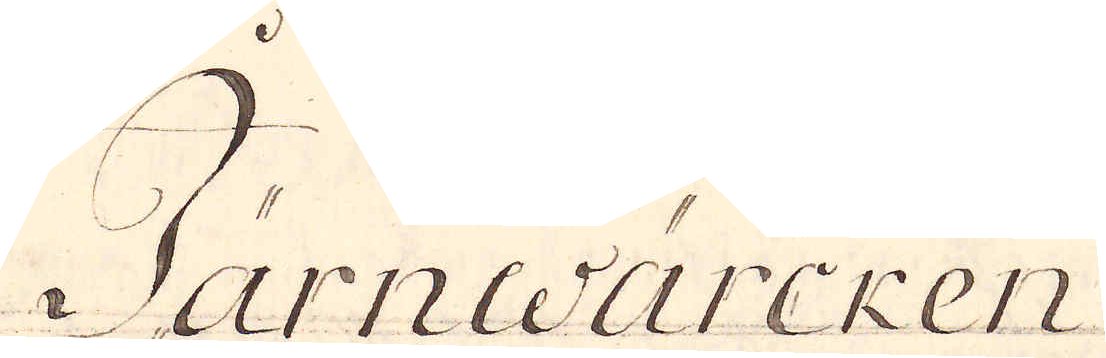Järnwärcken
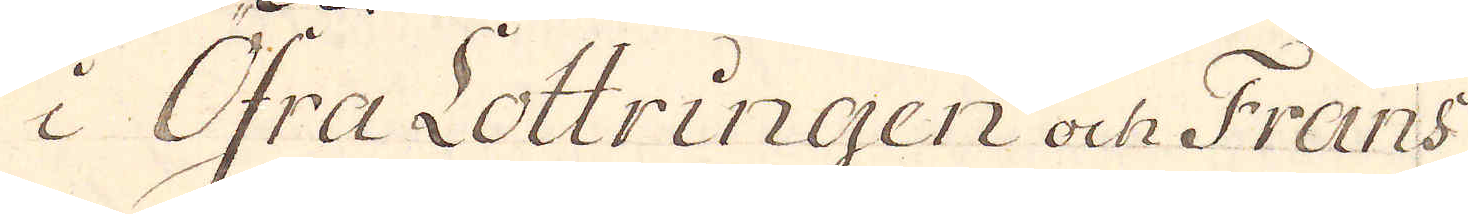i Öfra Lottringen och Frans
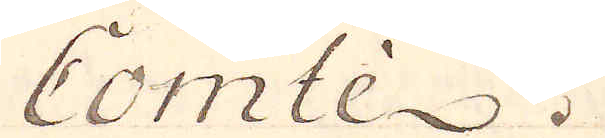Comtè.
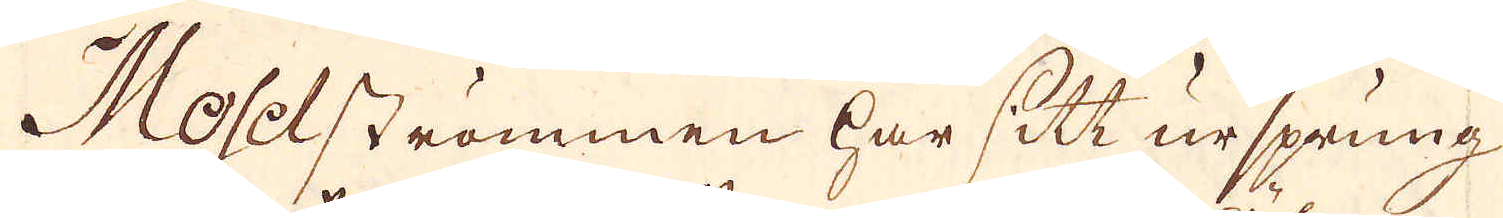Moselströmmen har sitt ursprung
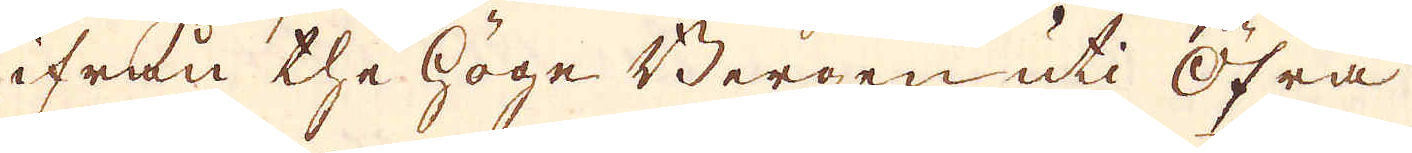ifrån the höge Bergen uti Öfra
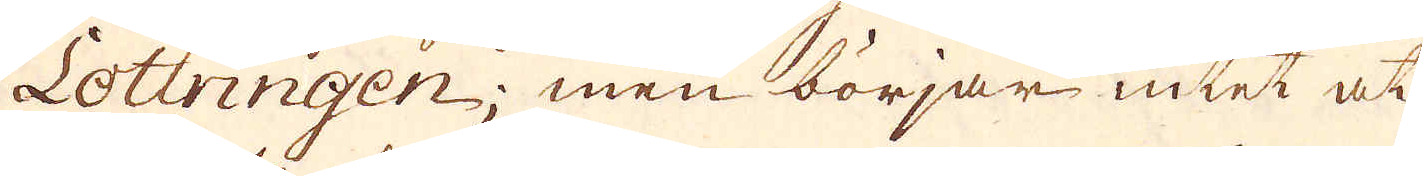Lottringen; men börjar intet at
